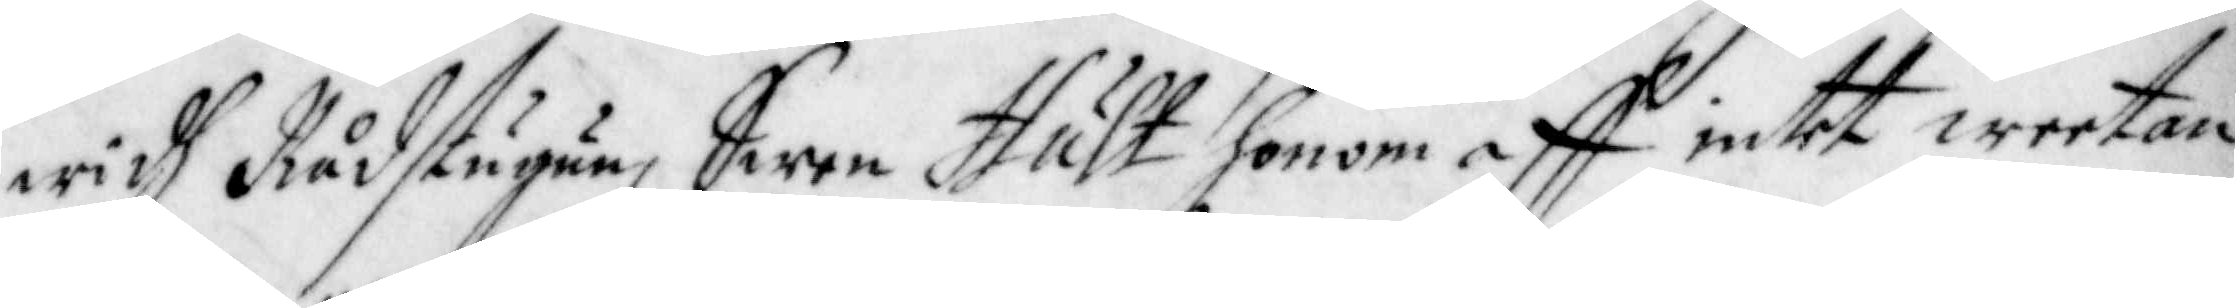widh Rådstugun, Swen Hult honom aff intet weetan¬
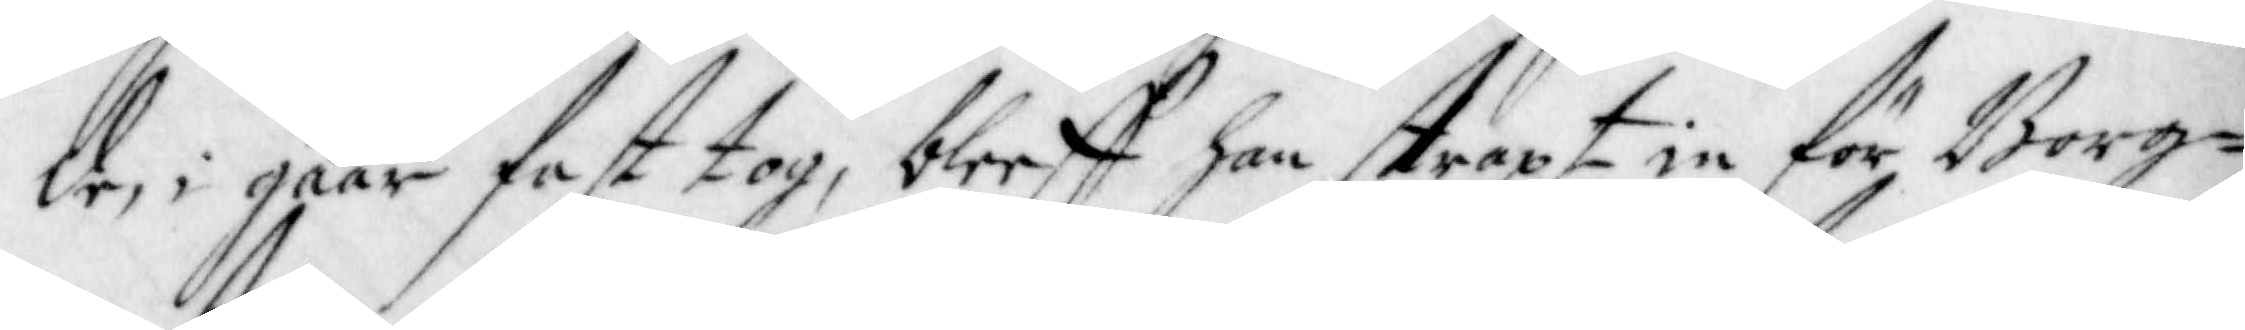des i gåår fast tog, bleeff han straxt in för Borg¬
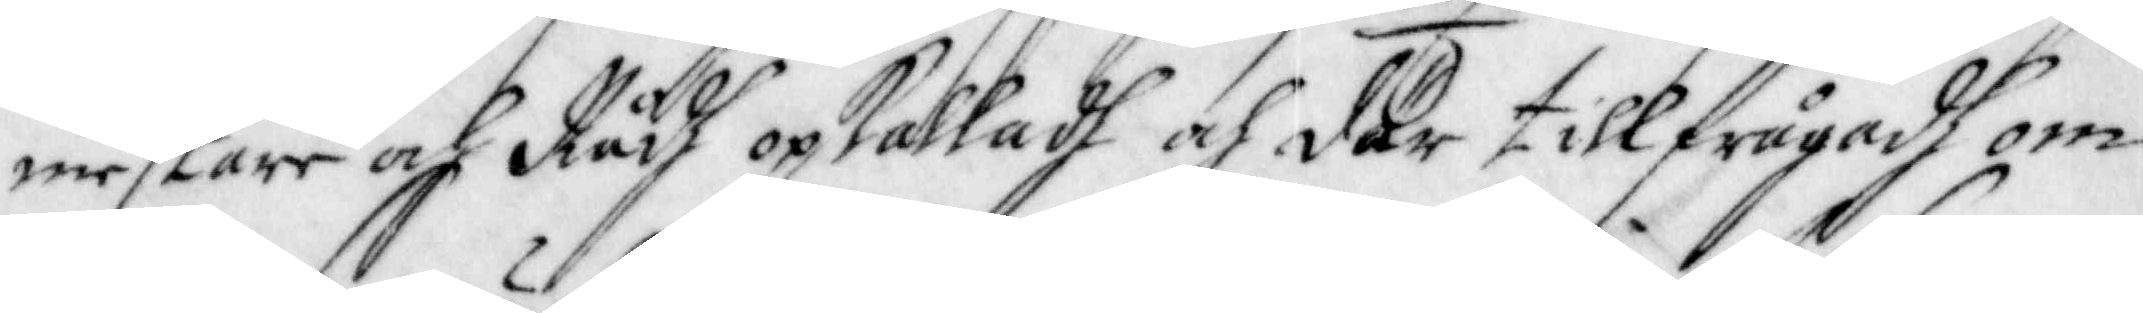mestare och Rådh opkalladh och där tillfrågadh om
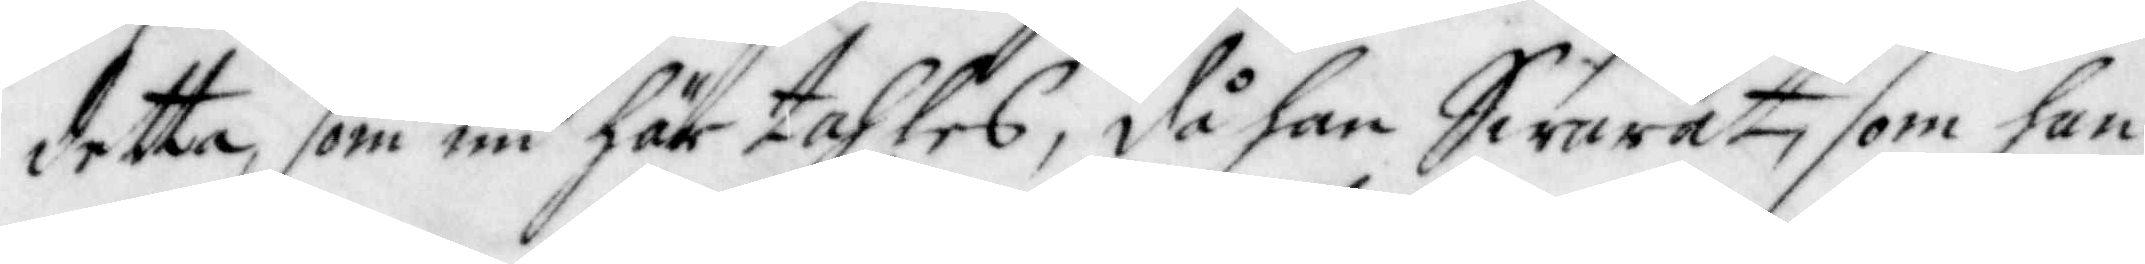detta, som nu här tahles, då han Swarat, som han
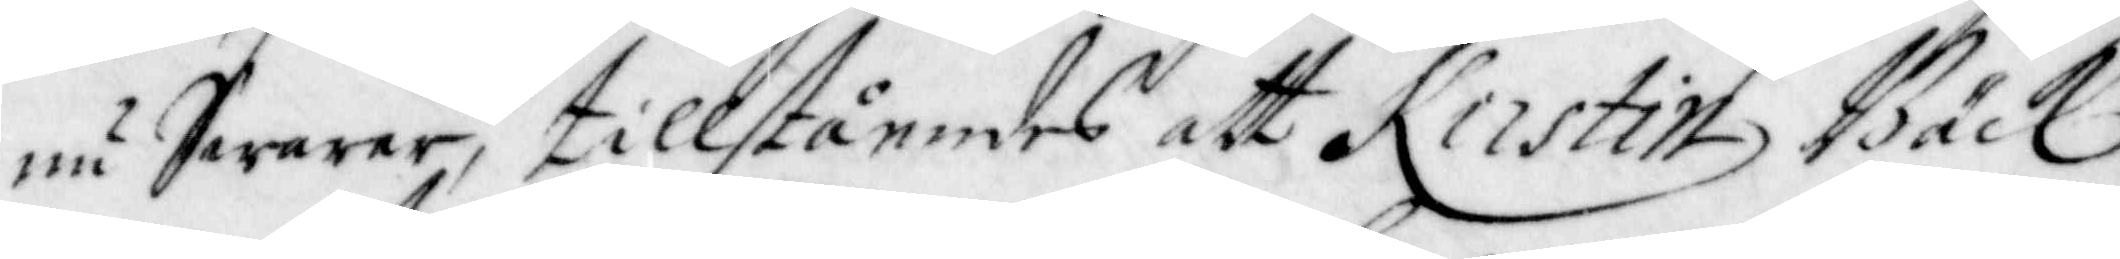nu Swarar, tillståendes att Kirstin Bäck
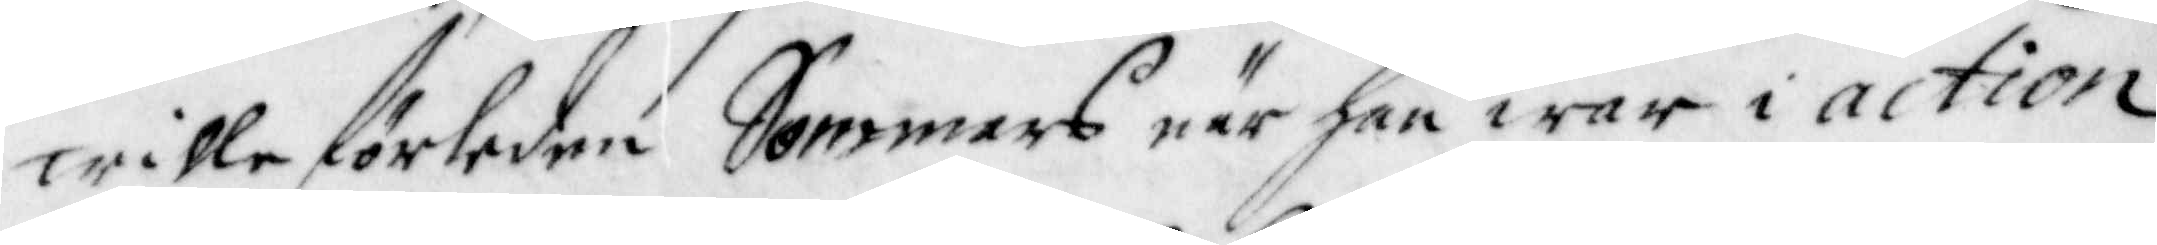wille förleden Sommars när han war i action
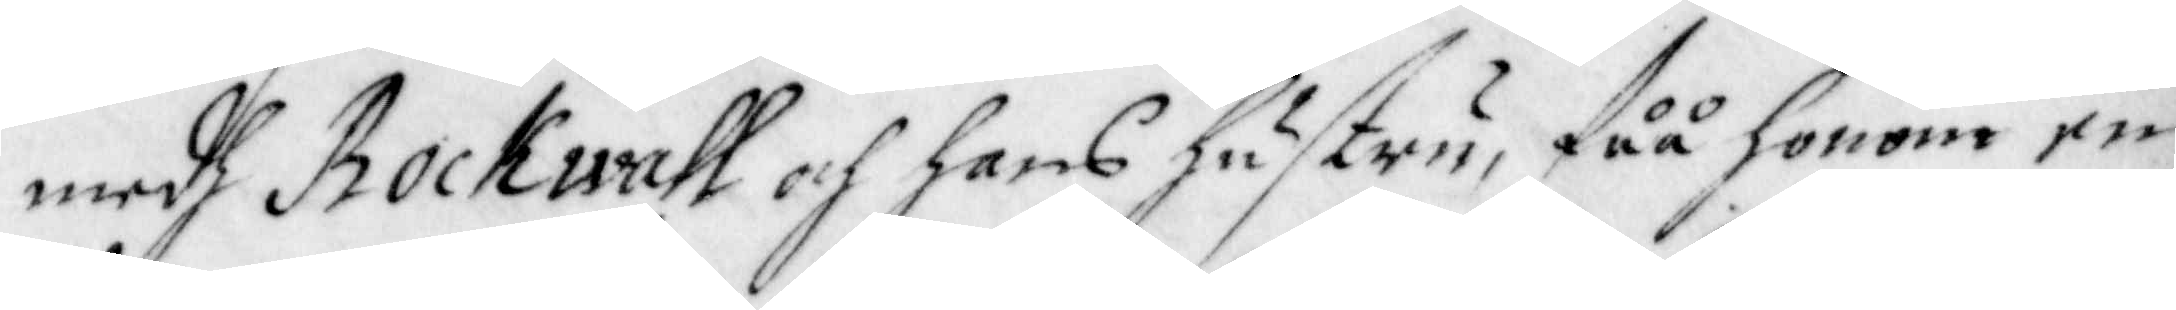medh Rockwall och hans hustru, fåå honom en
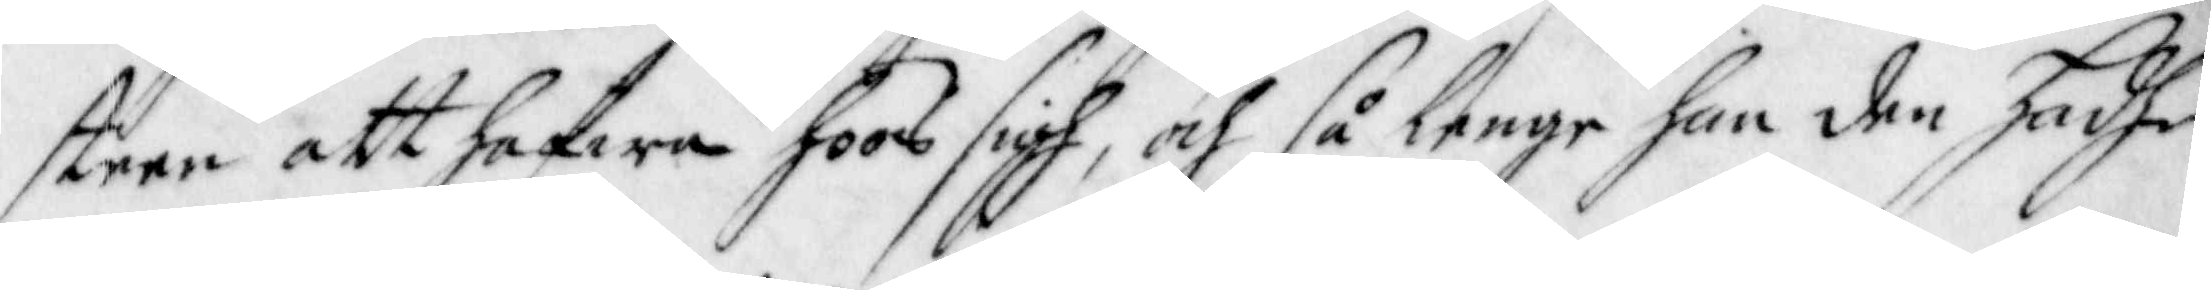steen att hafwa hoos sigh, och så lenge han den hadhe
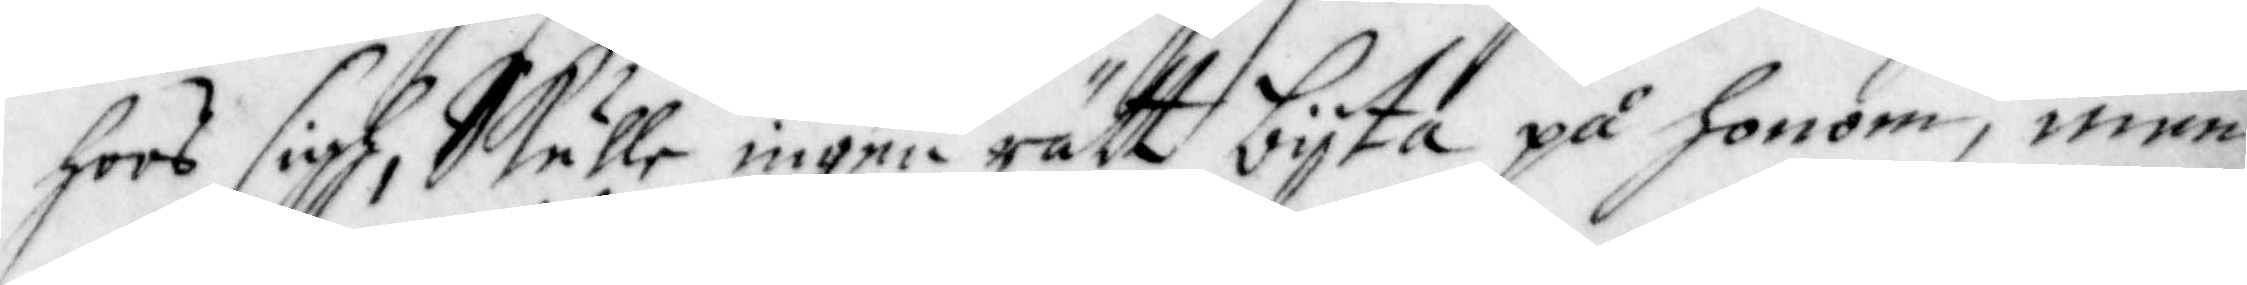hoos sigh, Skulle ingen rätt bijta på honom, men
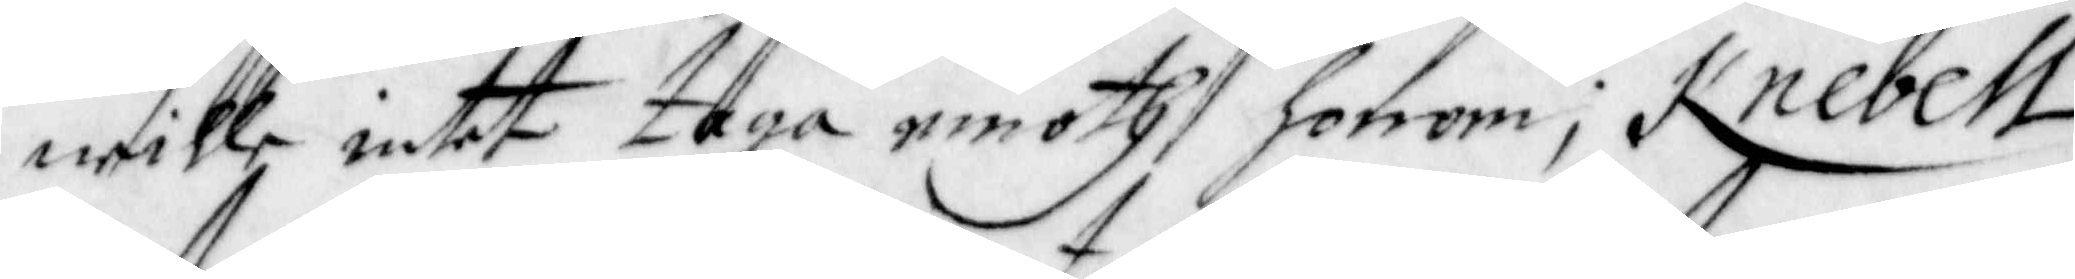wille intet taga emoth honom; Knebell
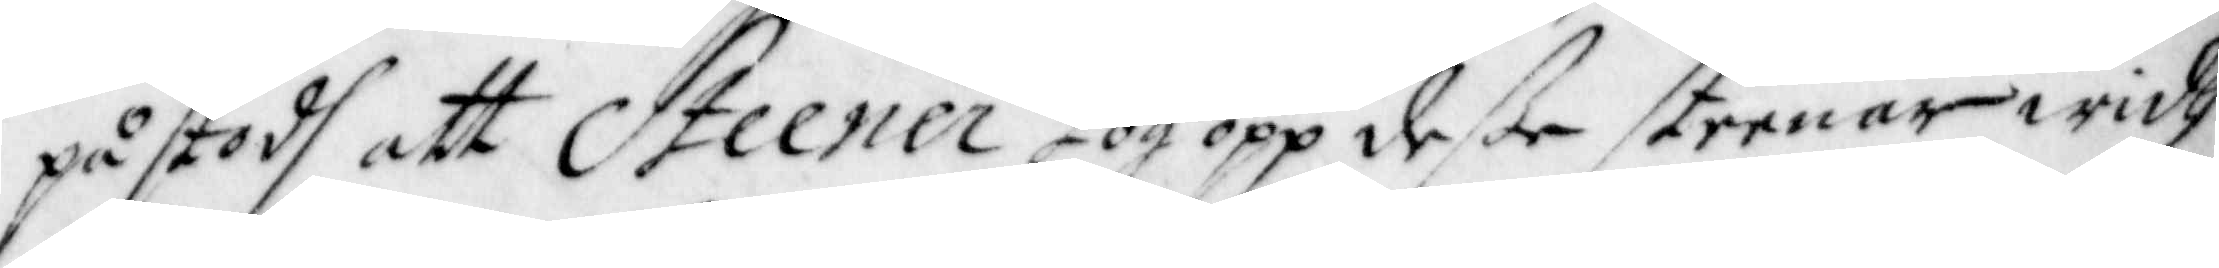påstodh att Steener tog opp deße steenar widh
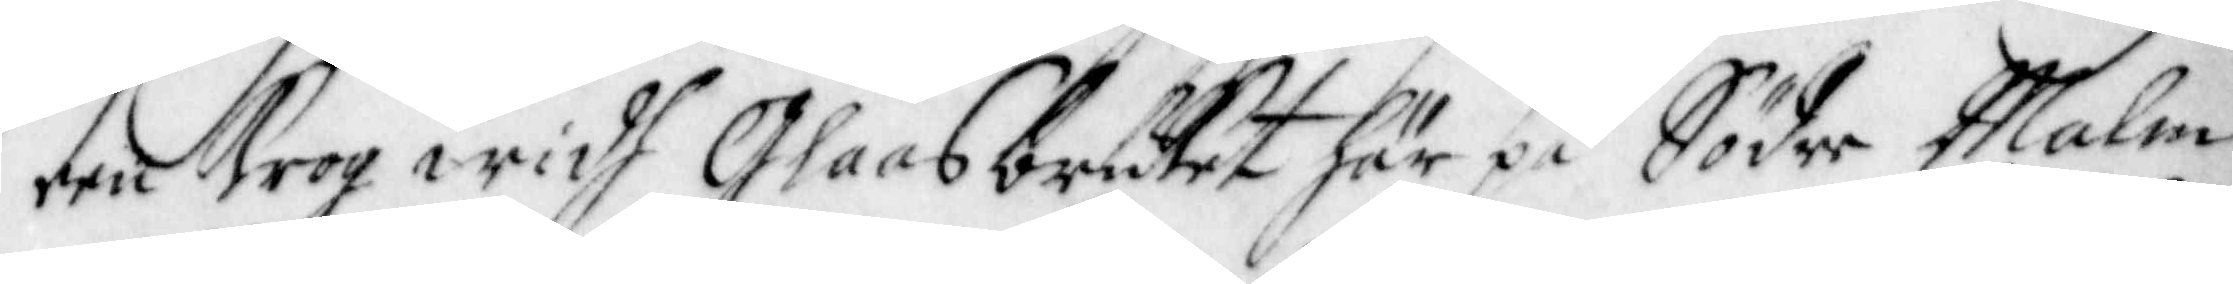een Krogh widh Glaasbruket här på Södre Malm
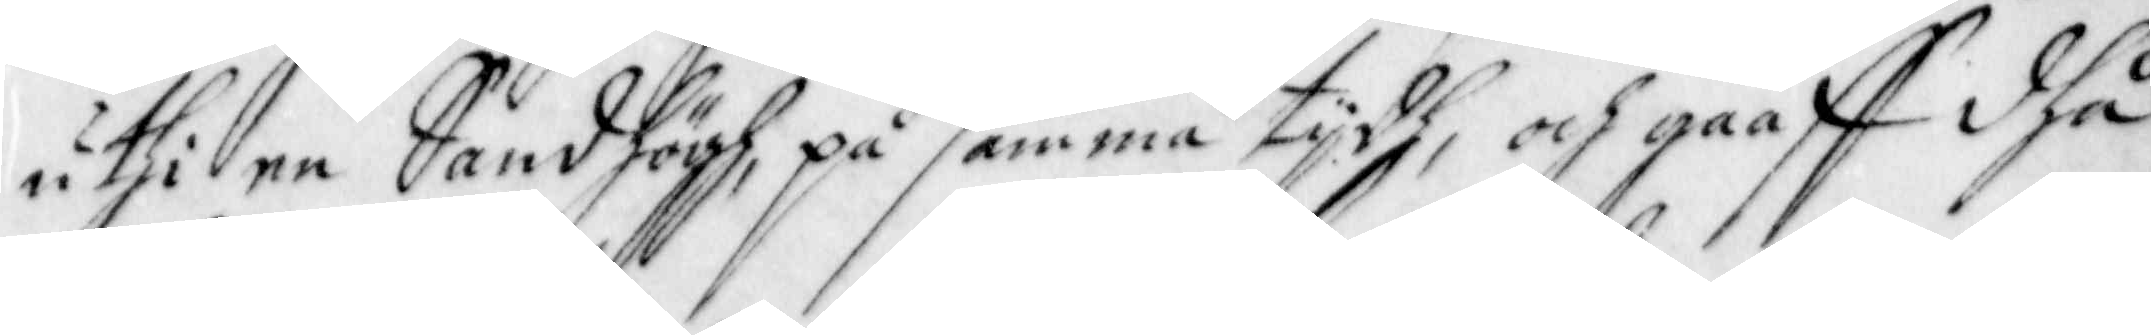uthi en Sandhögh på samma tijdh, och gaaff dhå
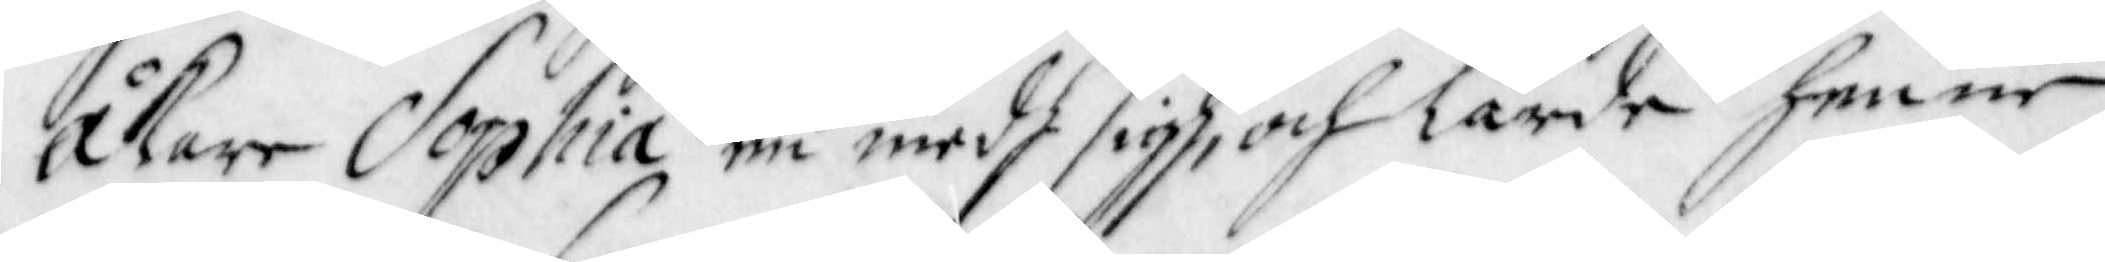Åkare Sophia en medh sigh, och lärde henne
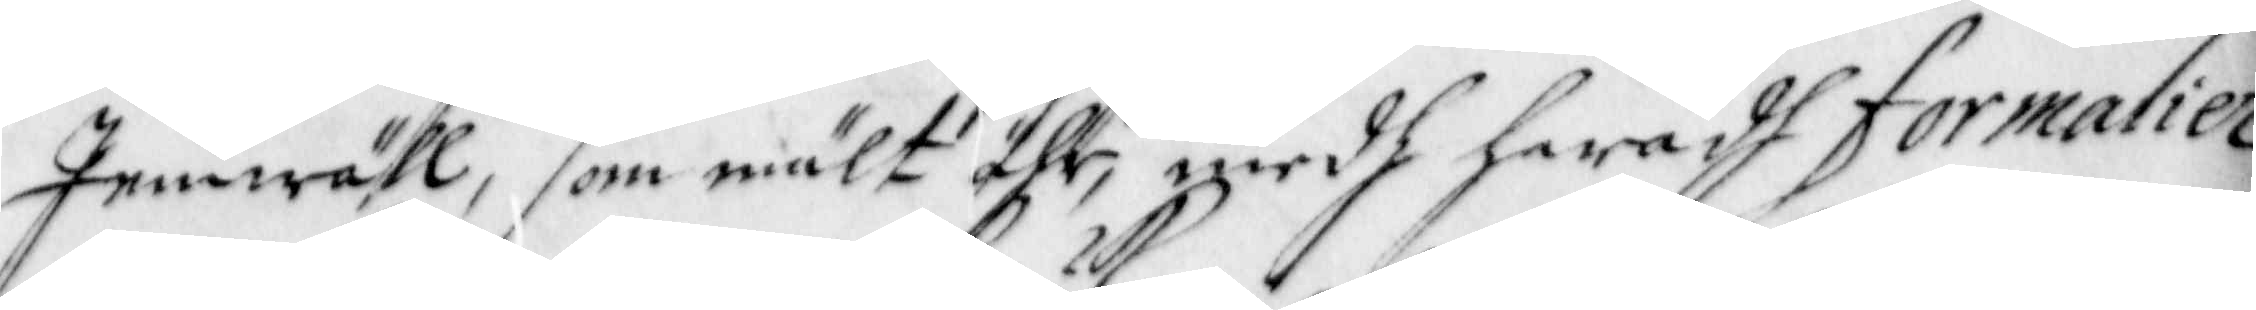Jemwähl, som mält ähr, medh hwadh formalier
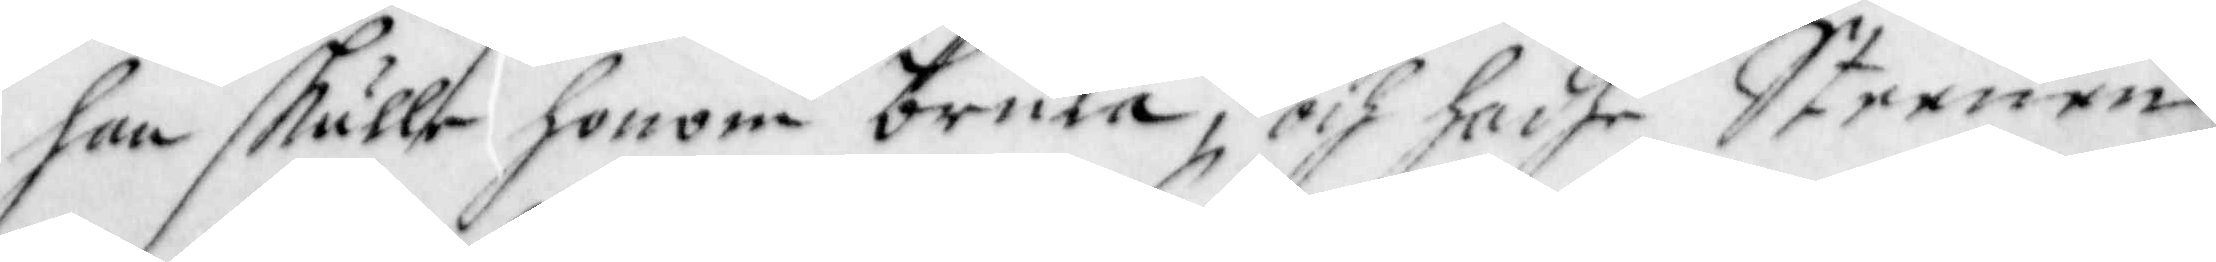han skulle honom bruka, och hadhe Steenen
